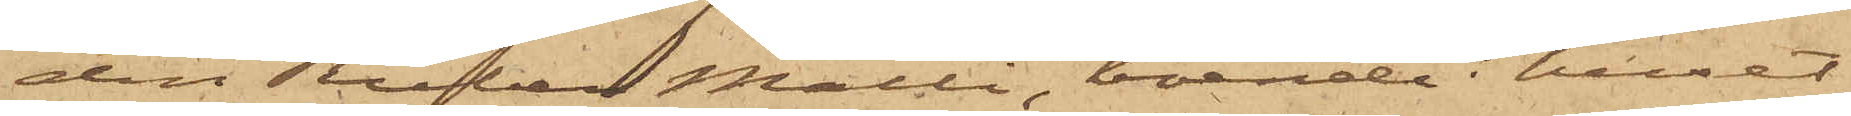den Ruben Malli, boende i huset
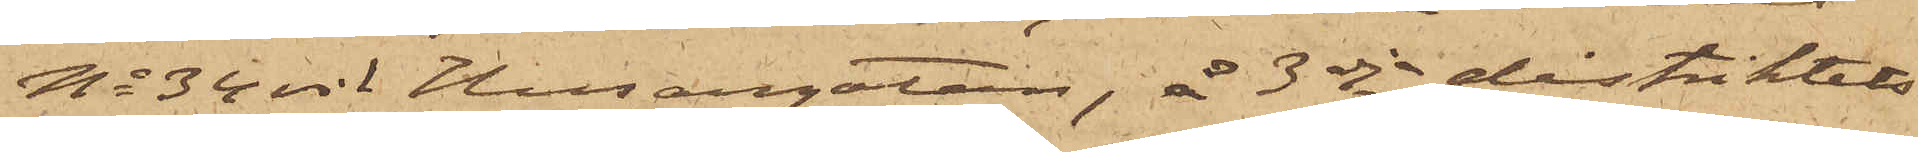No 34 vid Husargatan, å 3dje distriktets
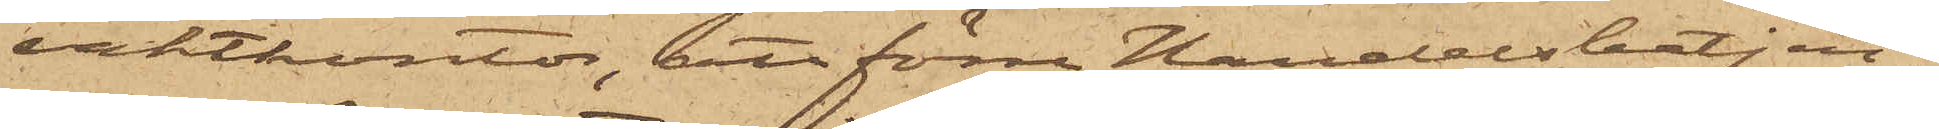vaktkontor, att förre Handelsbetjen¬
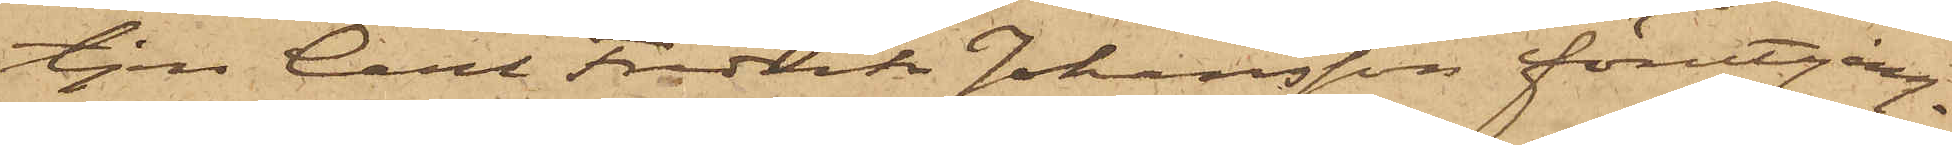ten Carl Fredrik Johansson förutgång¬
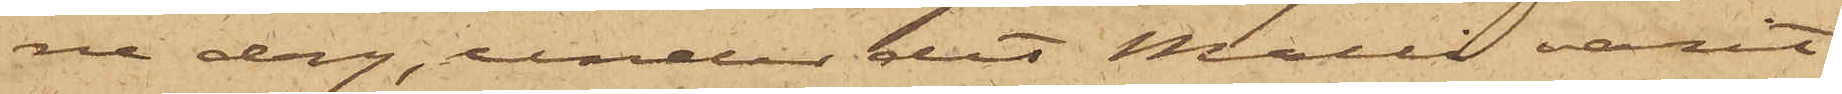ne dag, under det Malli varit
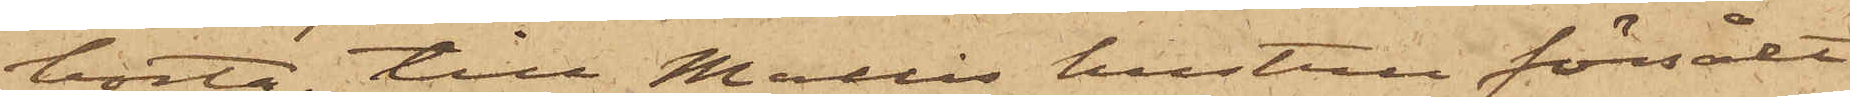borta, till Mallis hustru försålt
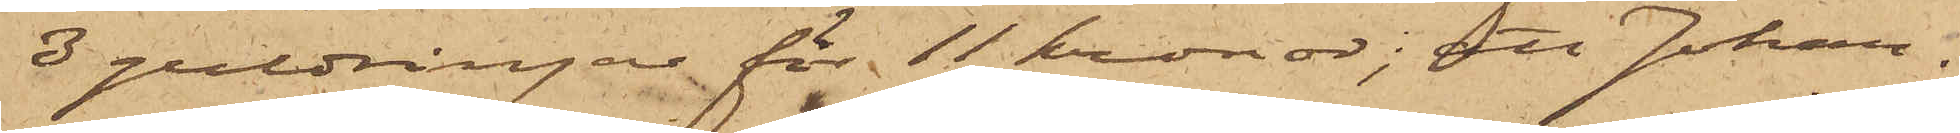3 guldringar för 11 kronor; att Johan¬
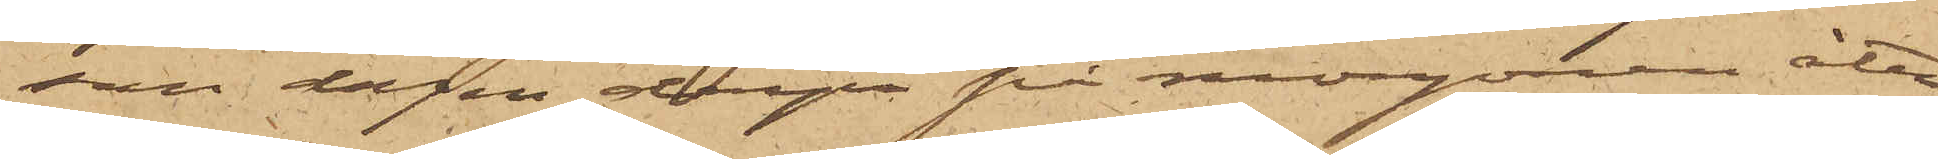son dagen derpå på morgonen åter¬
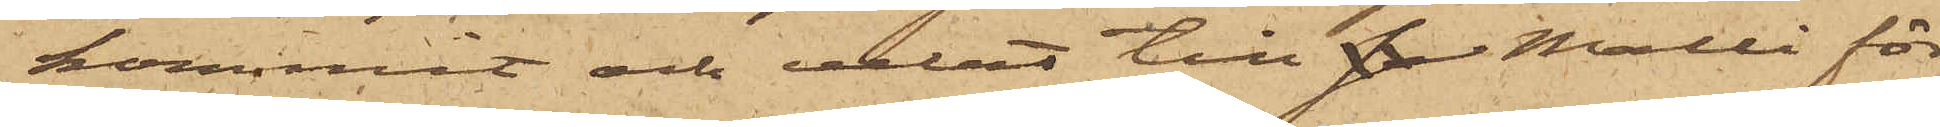kommit och velat till s Malli för¬
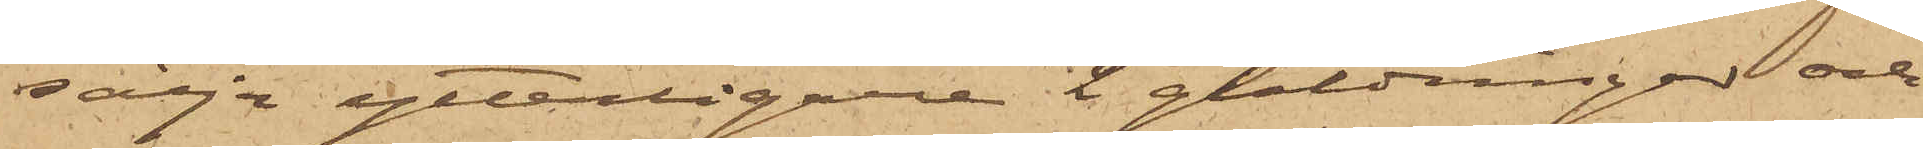sälja ytterligare 2 guldringar och
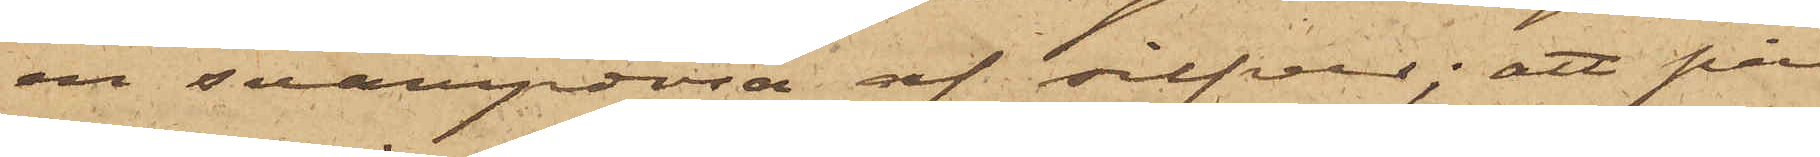en svampdosa af silfver; att på
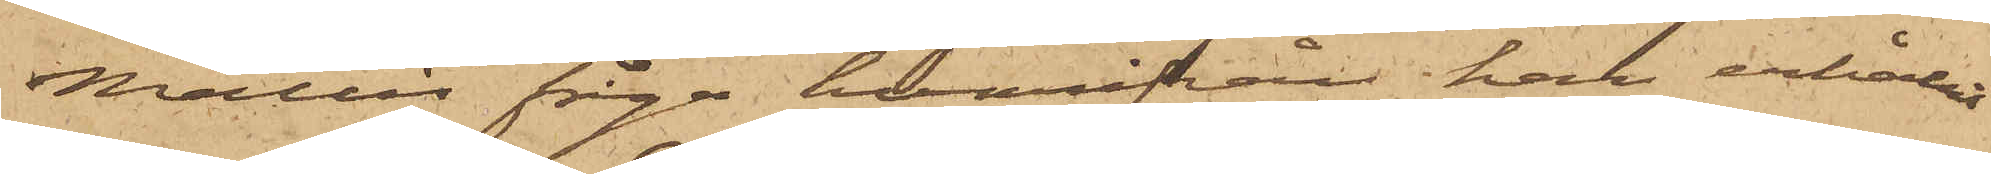Mallis fråga, hvarifrån han erhållit
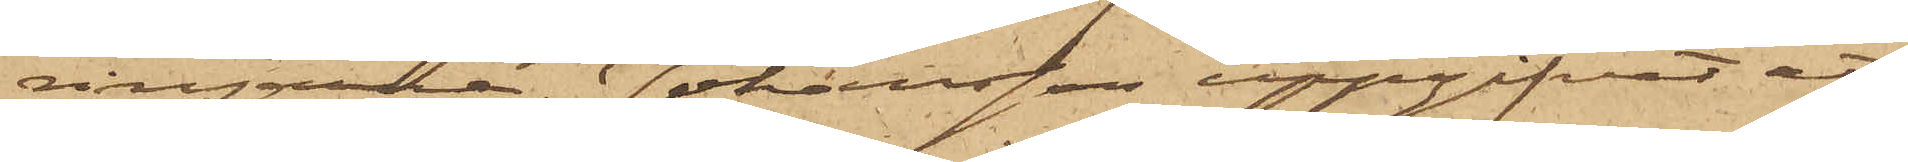ringarne, Johansson uppgifvit att
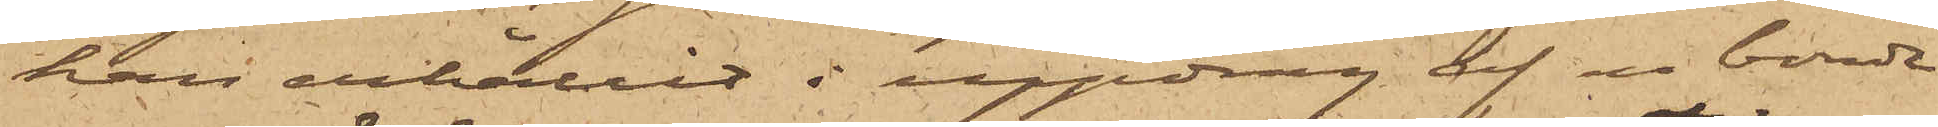han erhållit i uppdrag af en bonde
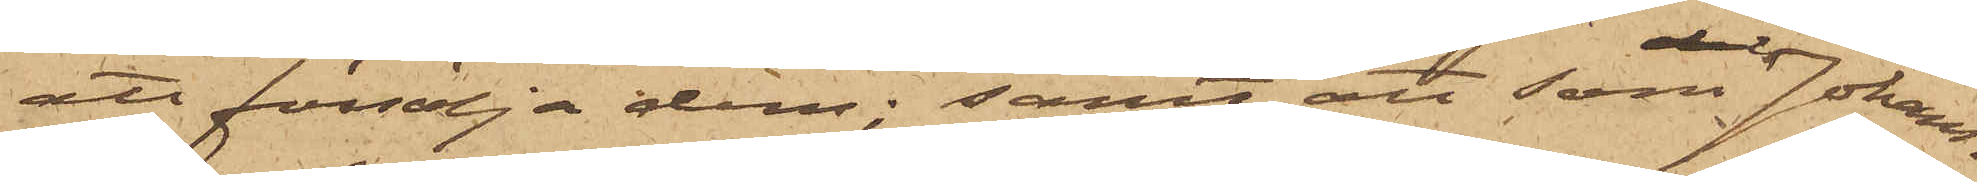att försälja dem; samt att som Johans¬
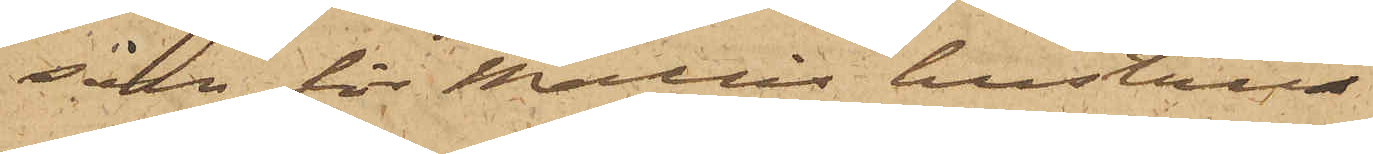son för Mallis hustru
